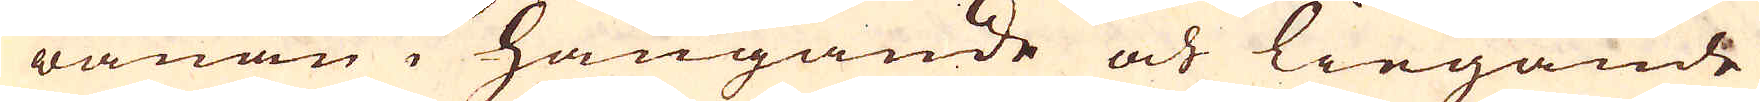wanan i hängande och liegande
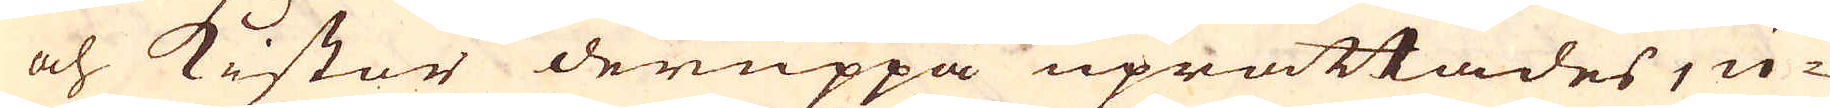och kistor deruppå uprättades, u-
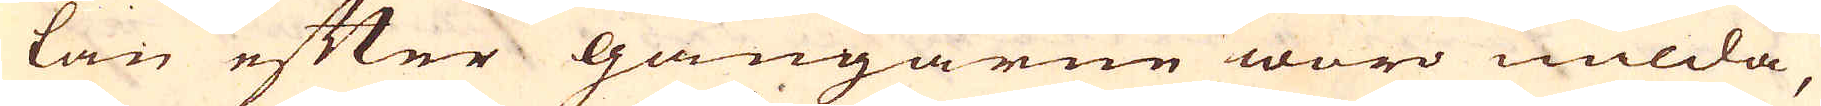tan efter gångarne woro milda,
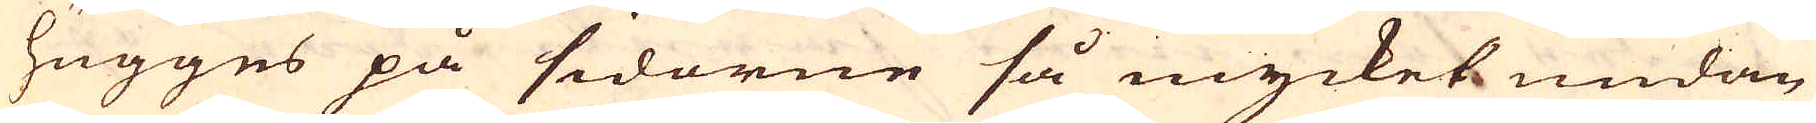hugges på sidorne så mycket undan
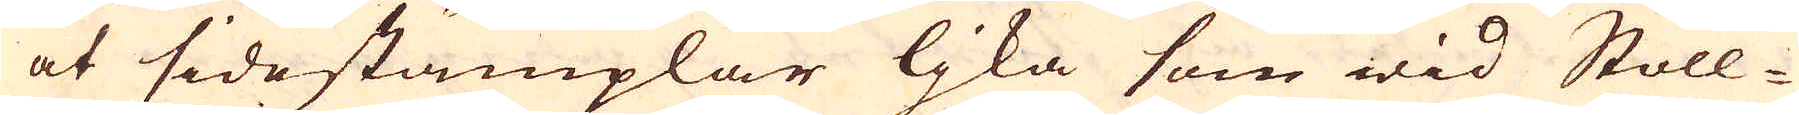at sidestämplar ljka som wid Stoll-
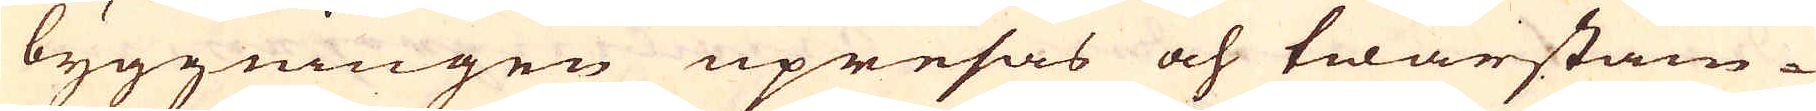byggningen upresas och twärstäm-
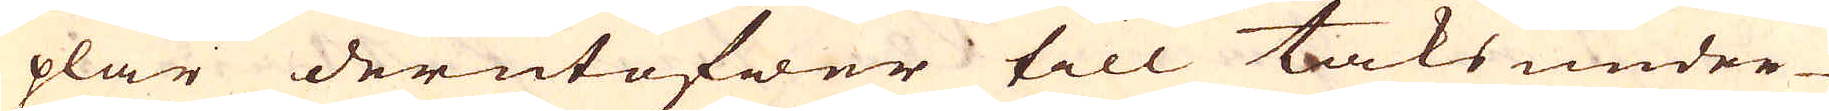plar derutöfwer till taks under-
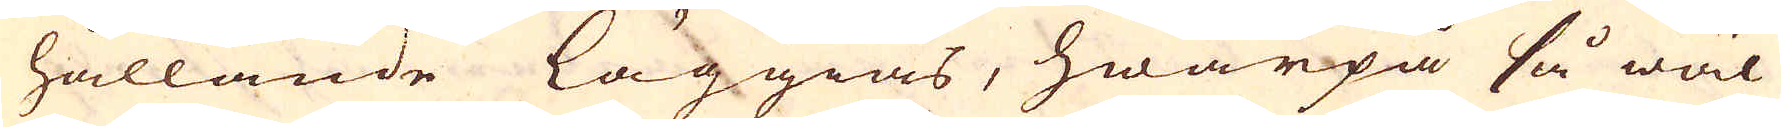hållande läggias, hwarpå så wäl
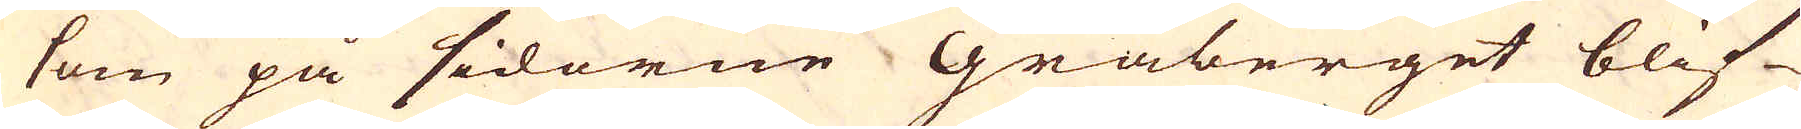som på sidorne Gråberget blif-
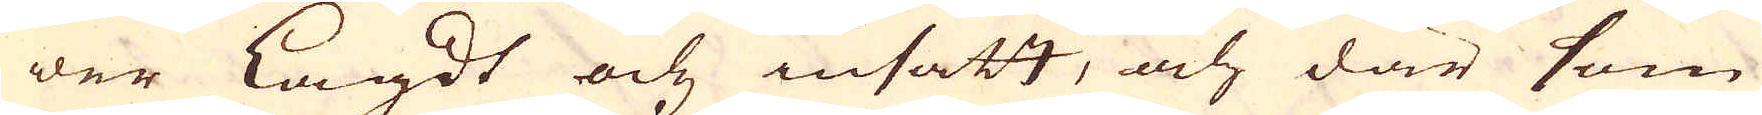wer lagdt och insatt, och där som
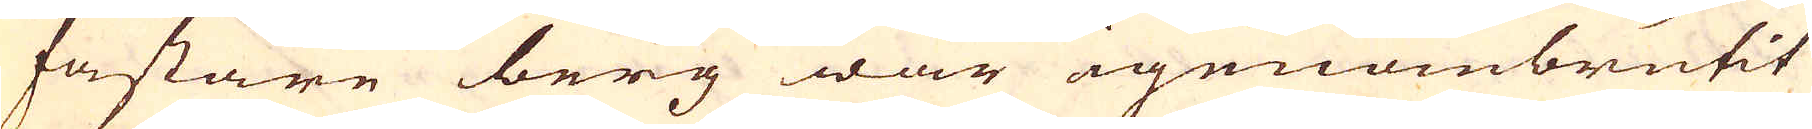fastare berg war igenombrutit
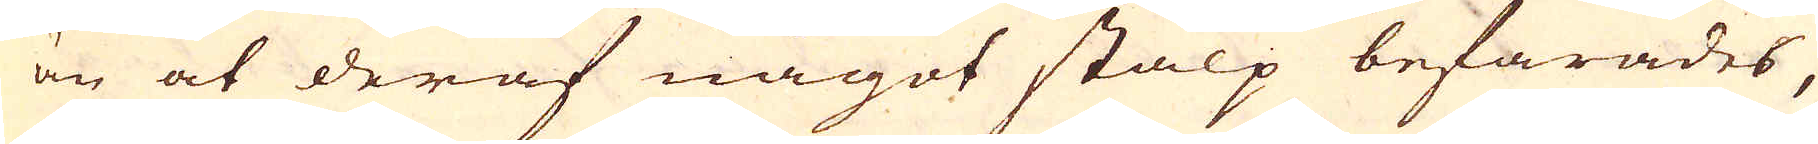än at deraf något stalp befarades,
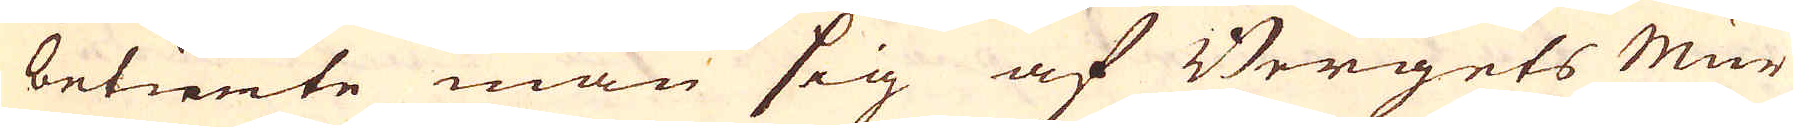betiente man sig af Bergets Mur
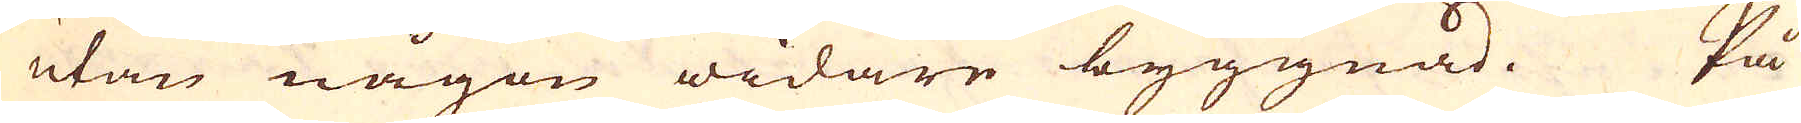utan någon widare byggnad. På
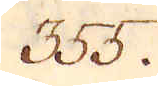355.
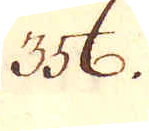356.
